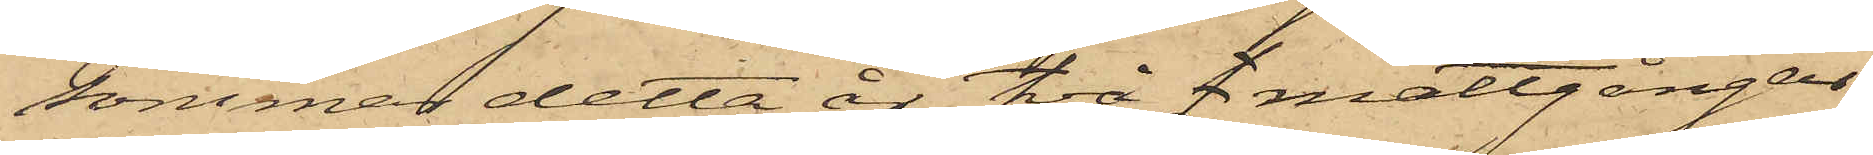sommar detta år två f mattgångar,
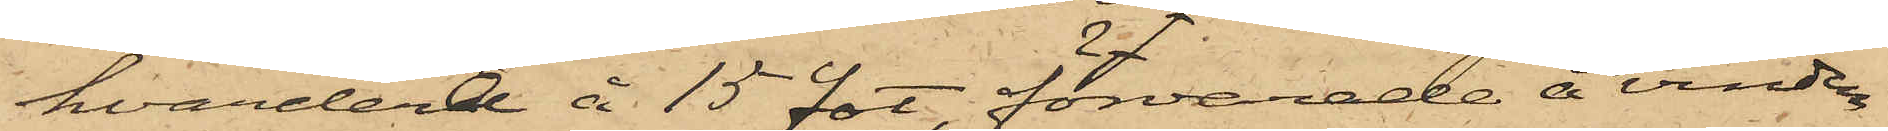hvardera å 15 fot, förvarade å vinden
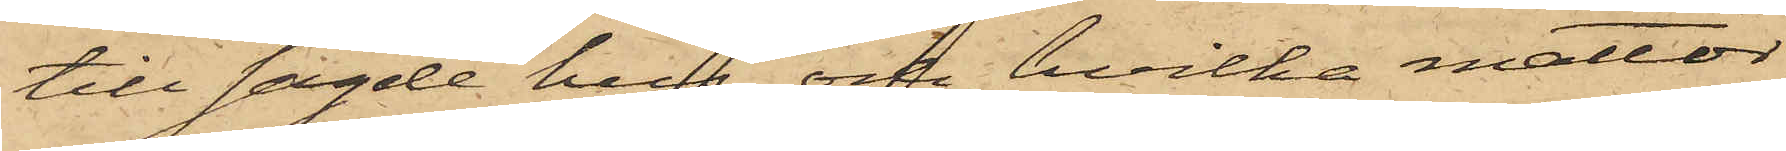till sagde hus, och hvilka mattor
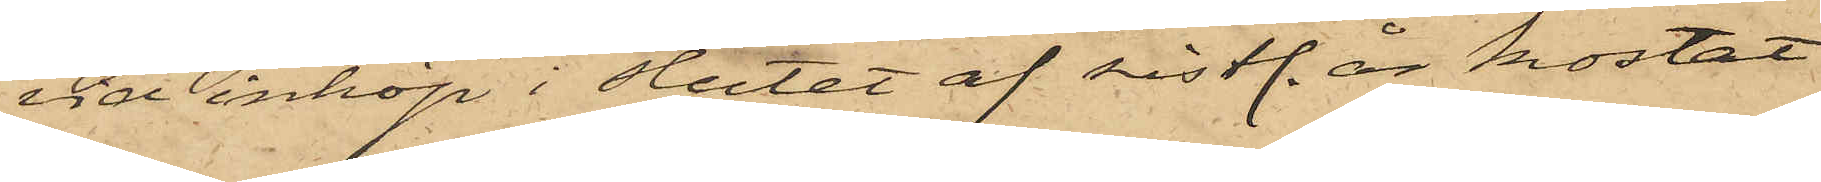vid inköp i slutet af sistl. år kostat
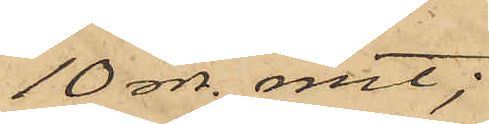10 rdr. rmt;
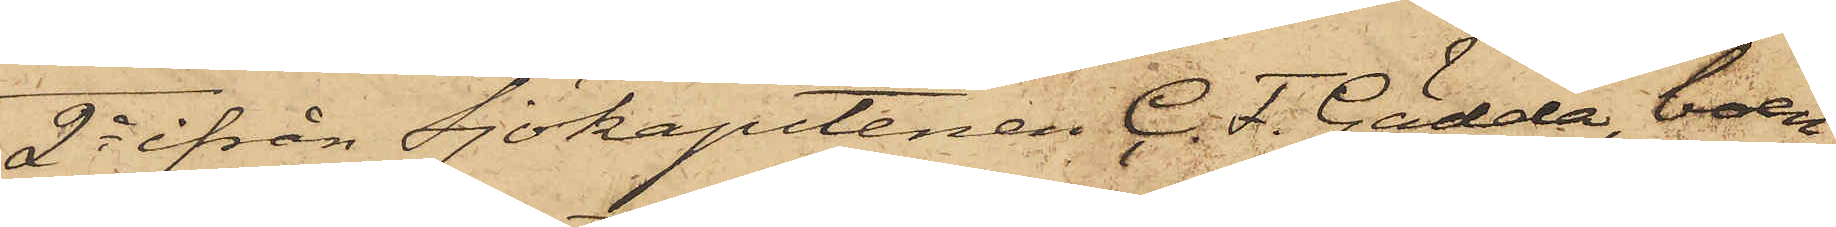2o ifrån Sjökaptenen C. F. Gädda, boen¬
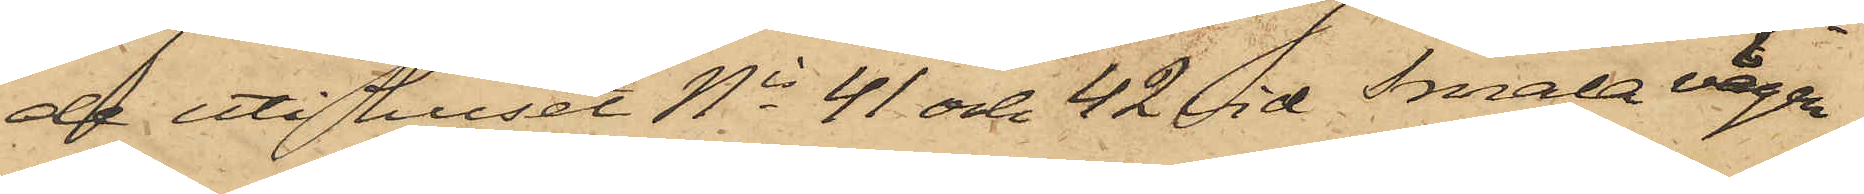de uti huset No 41 och 42 vid Smala vägen,
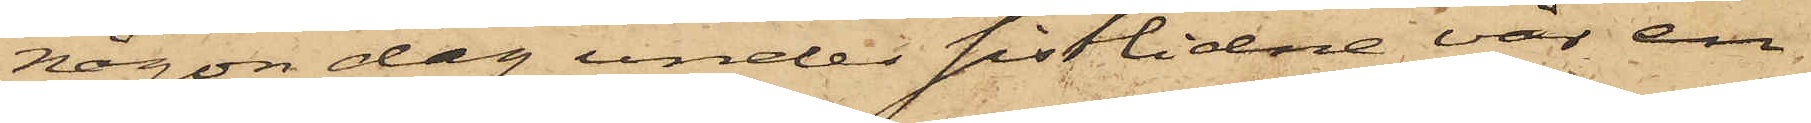någon dag under sistlidne vår en
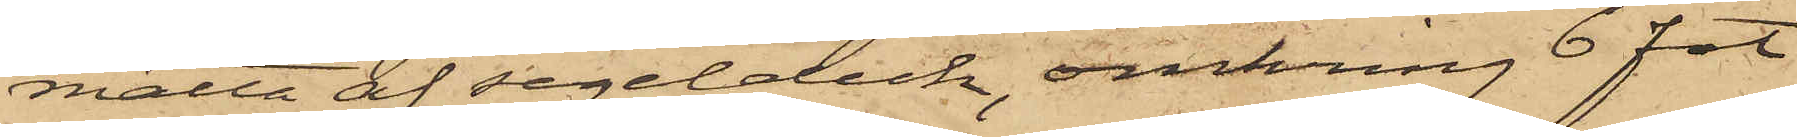matta af segelduk, omkring 6 fot
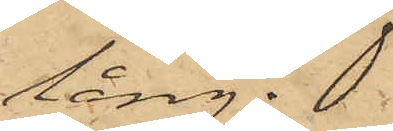lång;
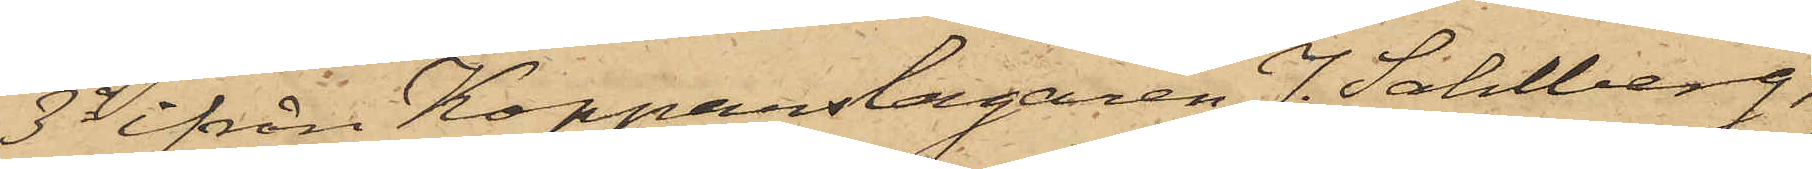3o ifrån Kopparslagaren J. Sahlberg,
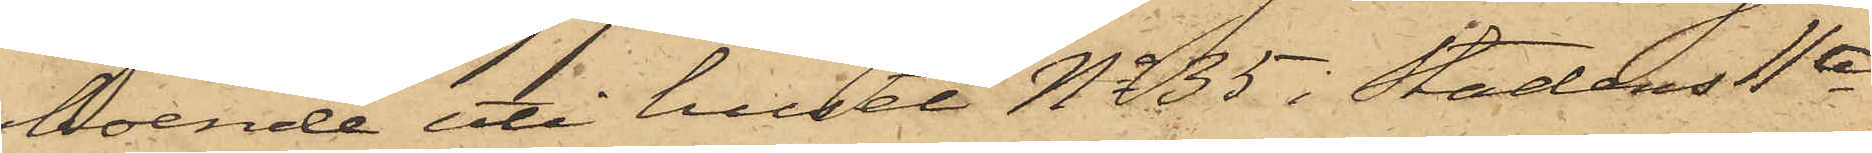boende uti huset No 35 i Stadens 11te
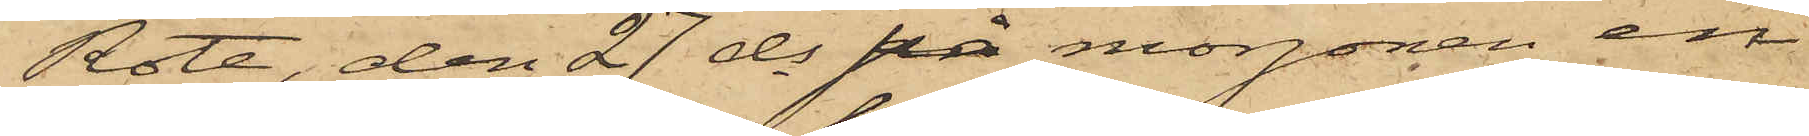Rote, den 27 ds på morgonen en
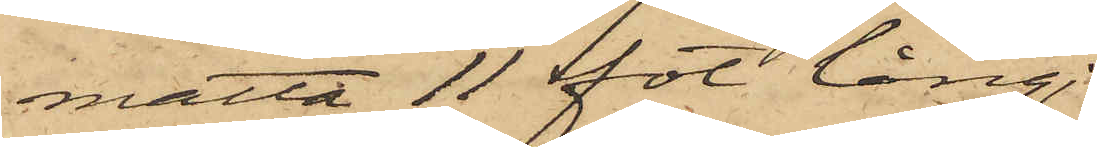matta 11 fot lång.
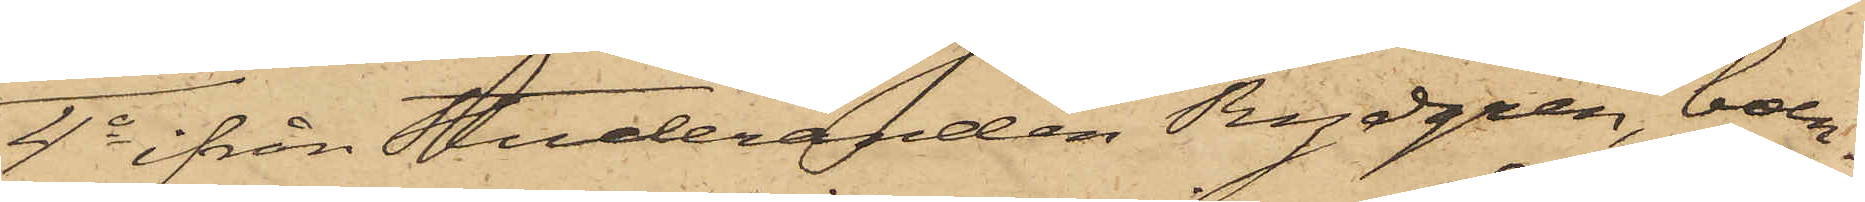4o ifrån Studeranden Rydgren, boen¬
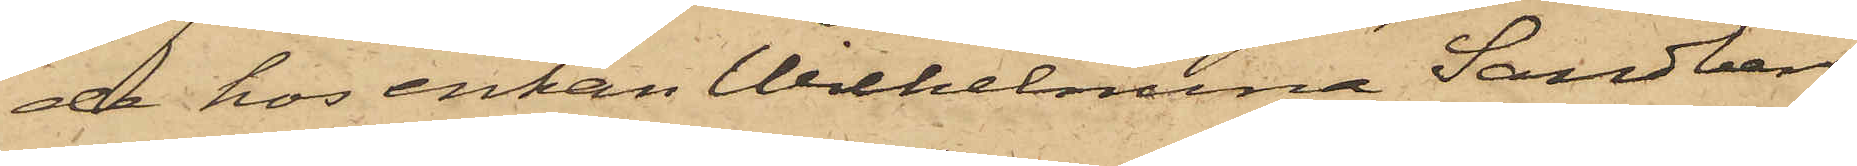de hos enkan Wilhelmina Sandberg
